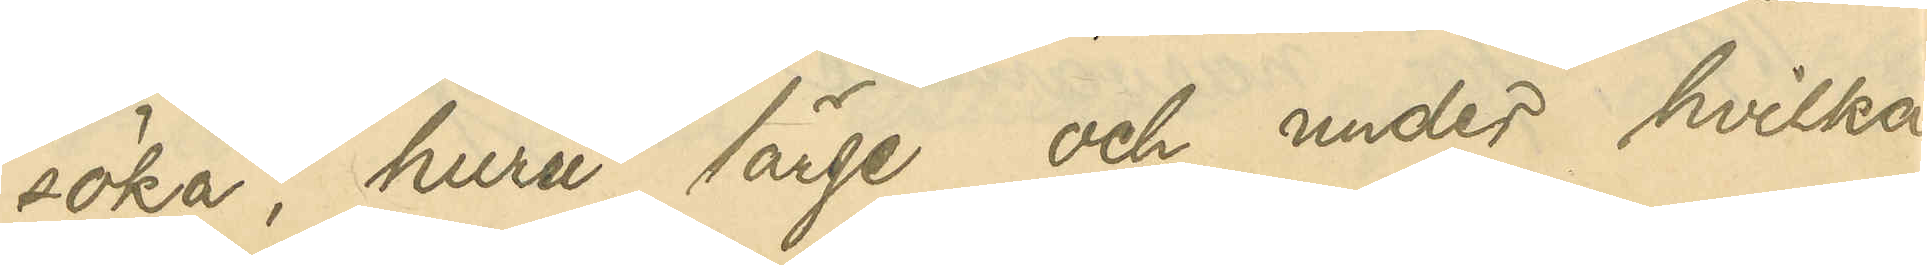söka, huru länge och under hvilka
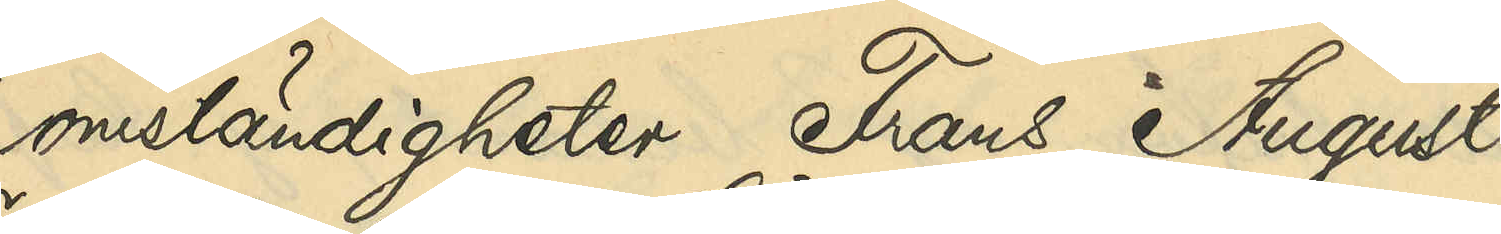omständigheter Frans August
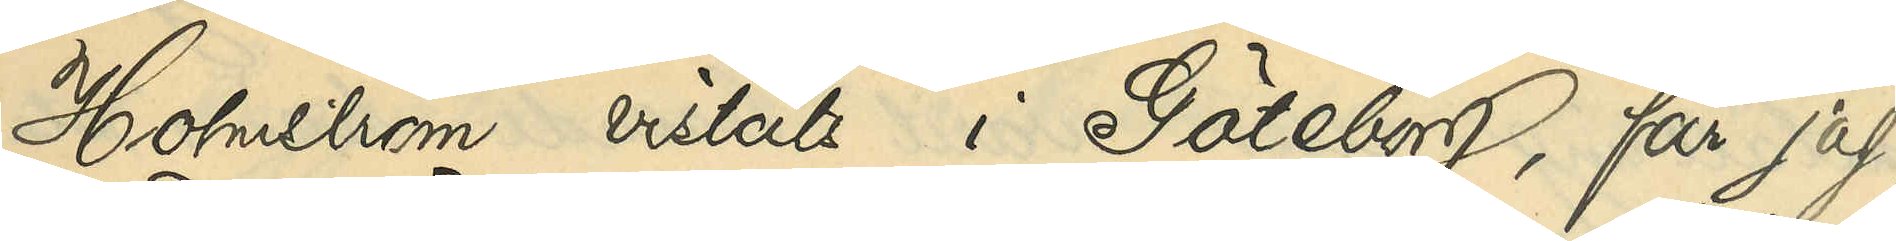Holmström vistats i Göteborg, får jag,
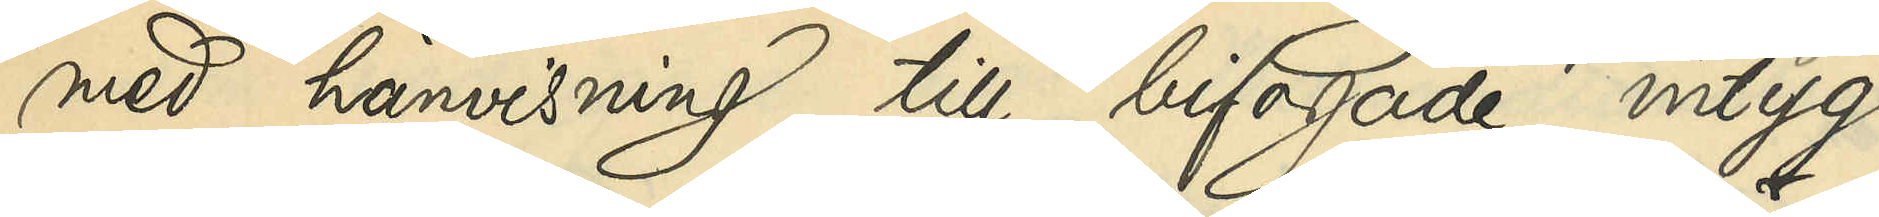med hänvisning till bifogade intyg
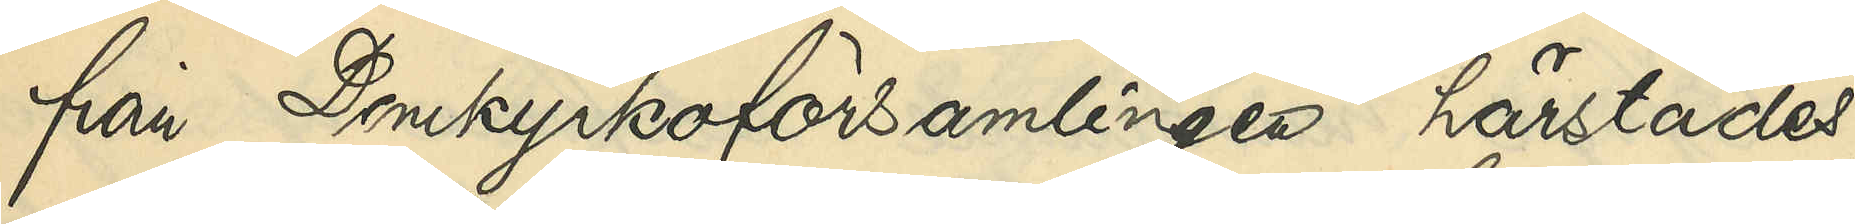från Domkyrkoförsamlingen härstädes,
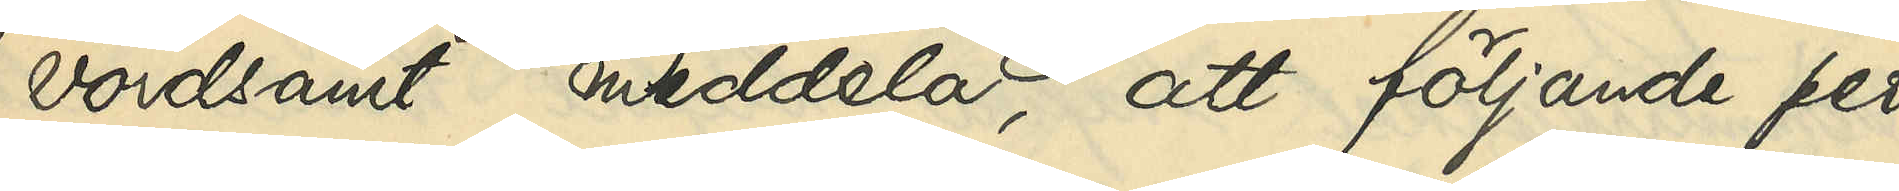vördsamt meddela, att följande per¬
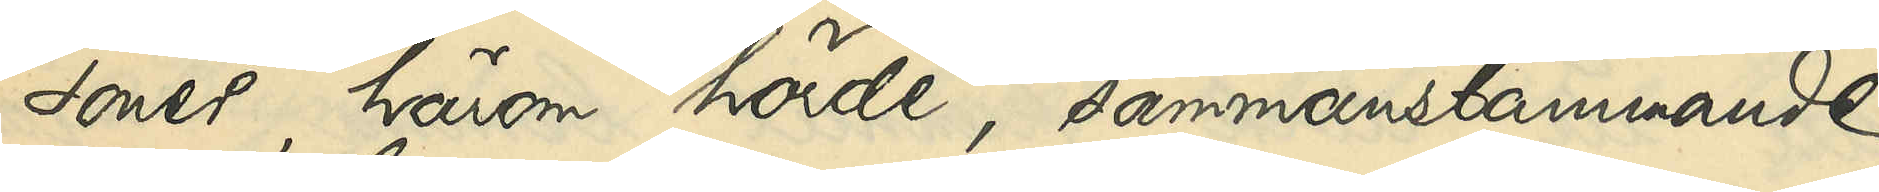soner, härom hörde, sammanstämmande
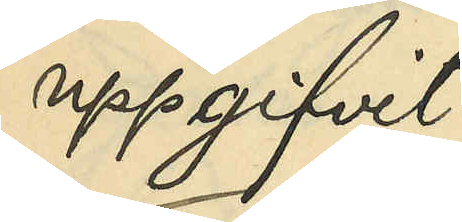uppgifvit:
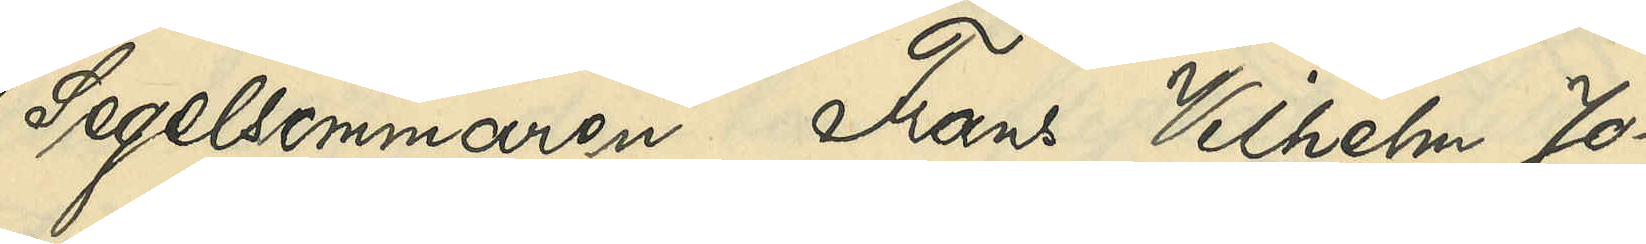Segelsömmaren Frans Vilhelm Jo¬
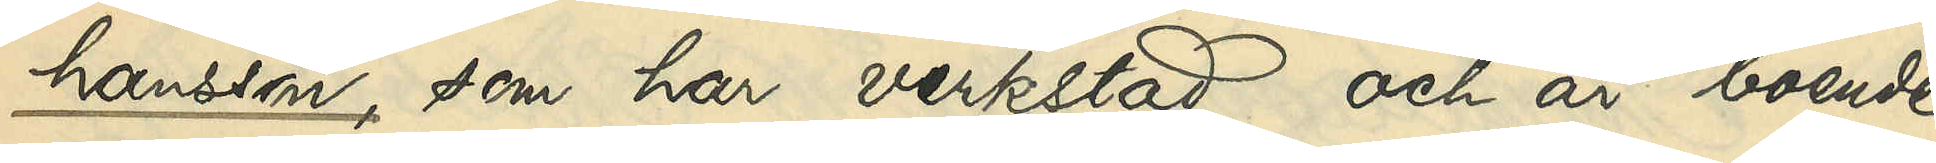hansson, som har verkstad och är boende
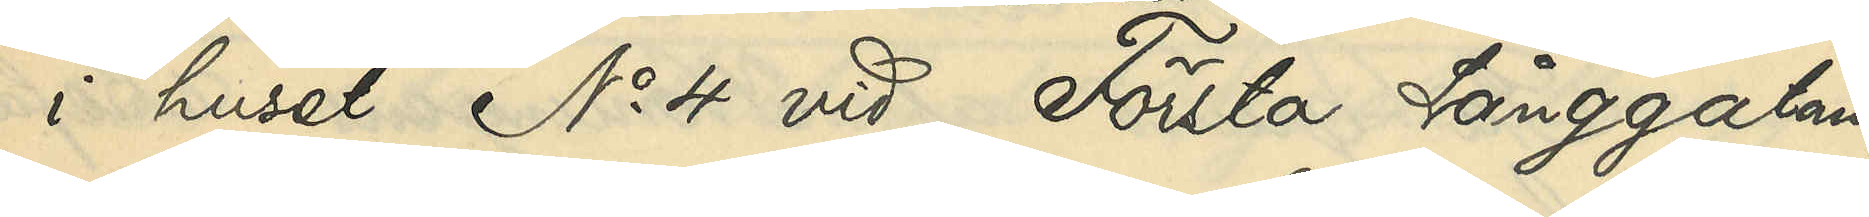i huset No 4 vid Första Långgatan,
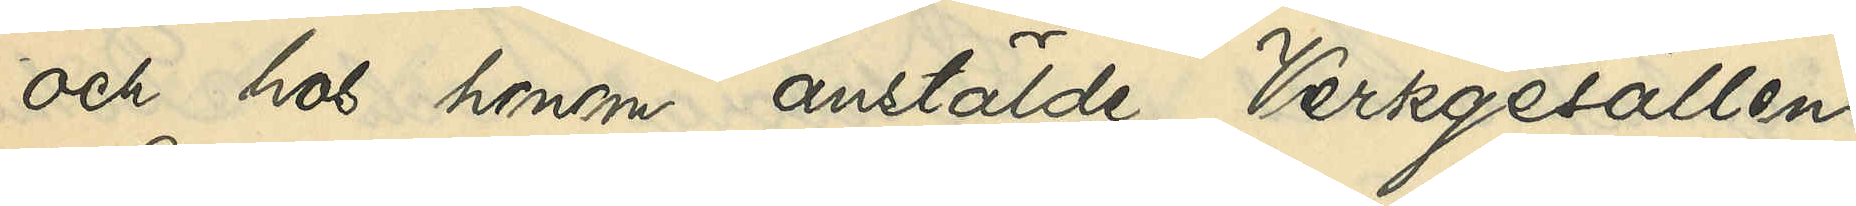och hos honom anstälde Verksgesällen
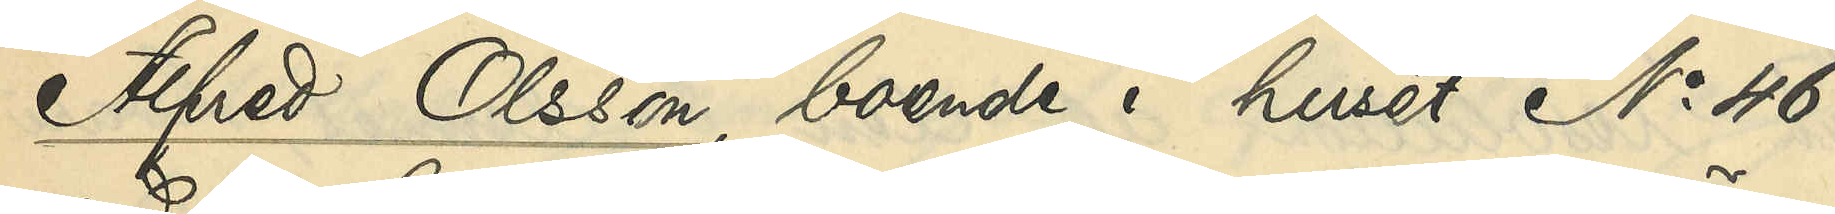Alfred Olsson, boende i huset No 46
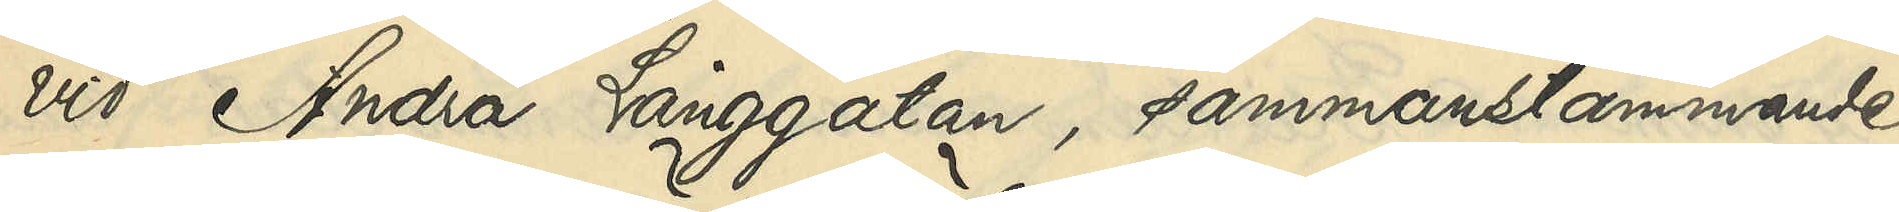vid Andra Långgatan, sammanstämmande:
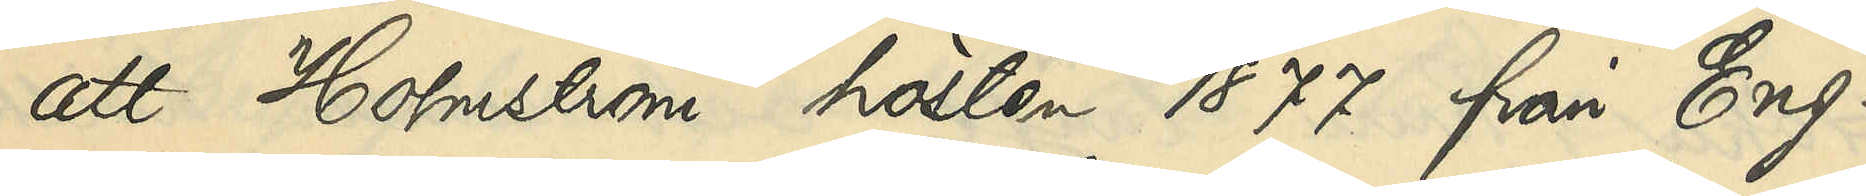att Holmström hösten 1877 från Eng¬
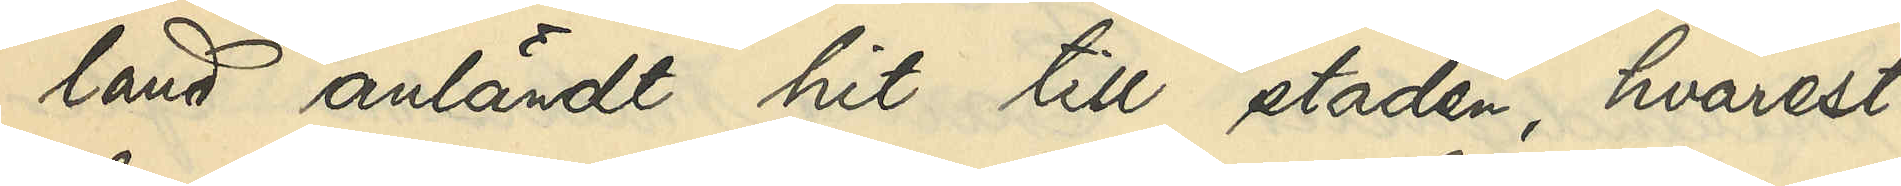land anländt hit till staden, hvarest
